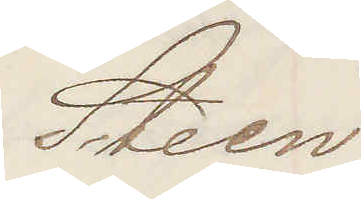Steen.
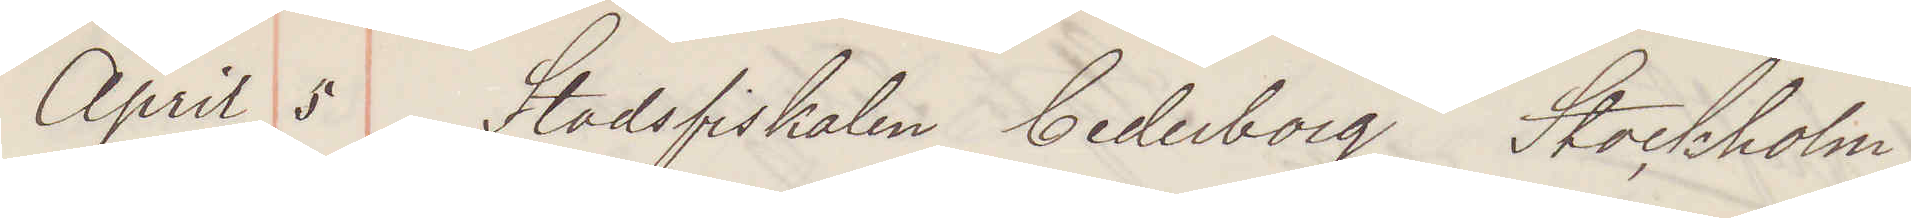April 5 Stadsfiskalen Cederborg Stockholm
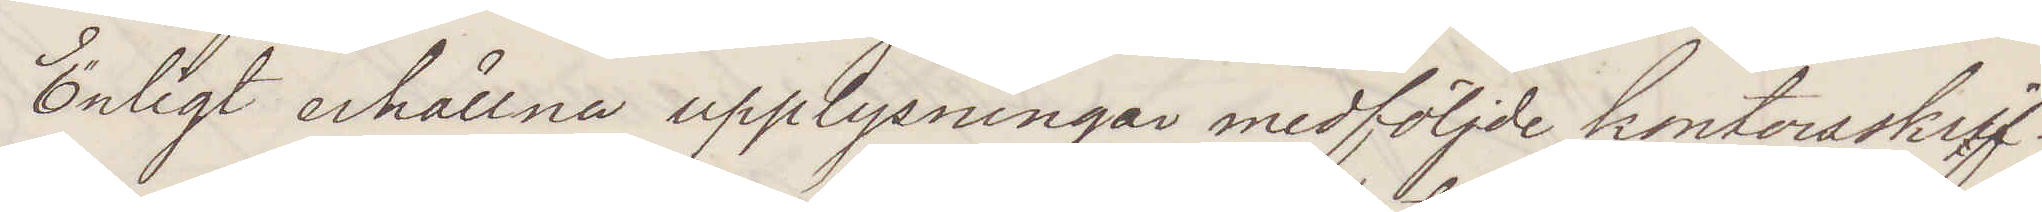Enligt erhållna upplysningar medföljde kontorsskrif¬
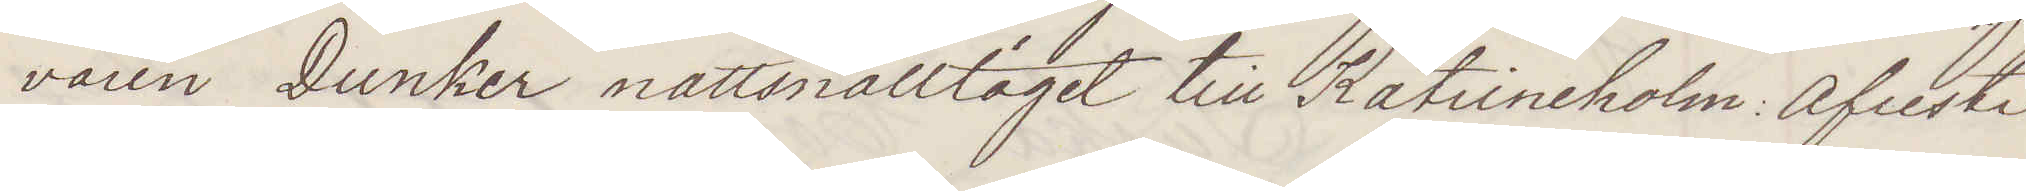varen Dunker nattsnälltåget till Katrineholm  Afreste
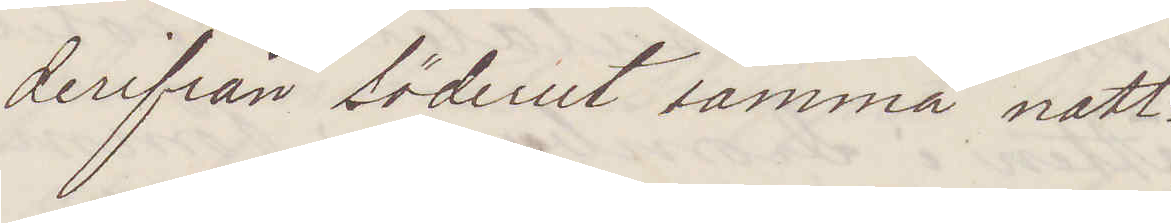derifrån söderut samma natt.
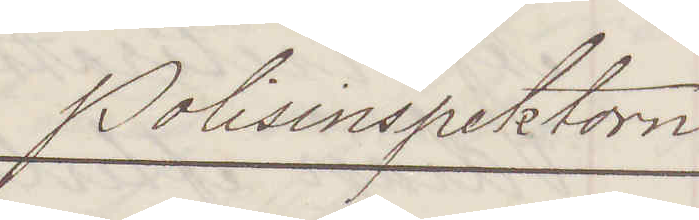Polisinspektorn
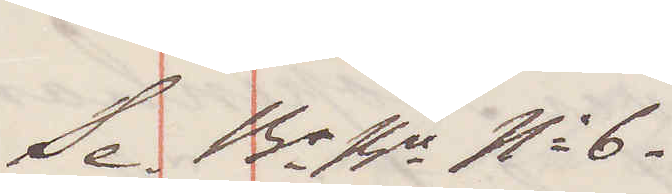Se Br Bn No 6.
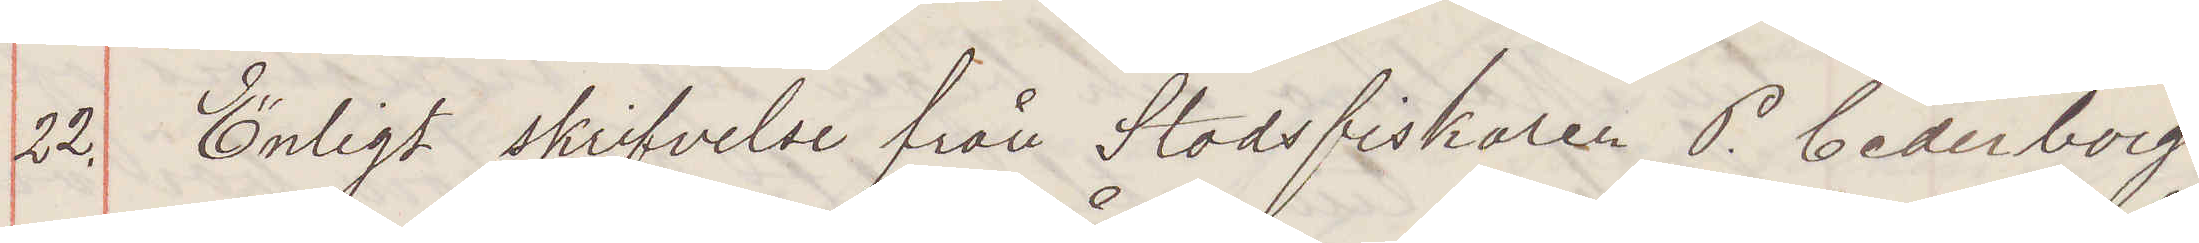22. Enligt skrifvelse från Stadsfiskalen P. Cederborg
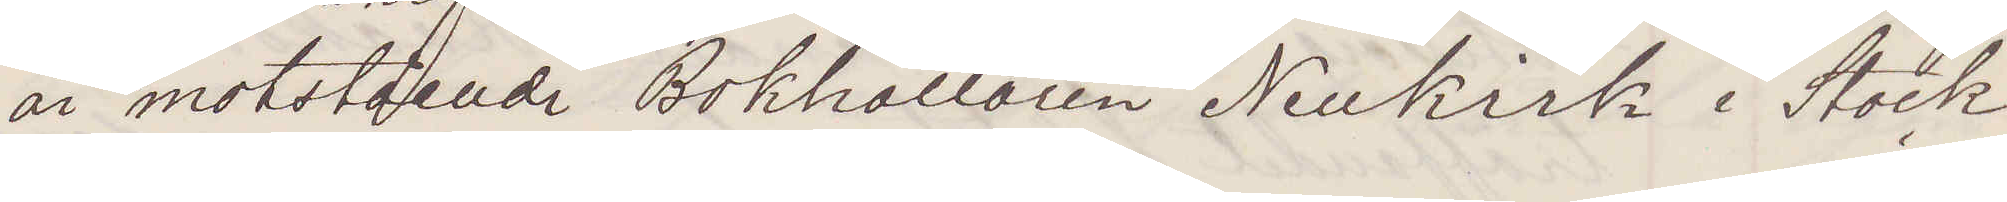är motstående Bokhållaren Neukirk i Stock¬
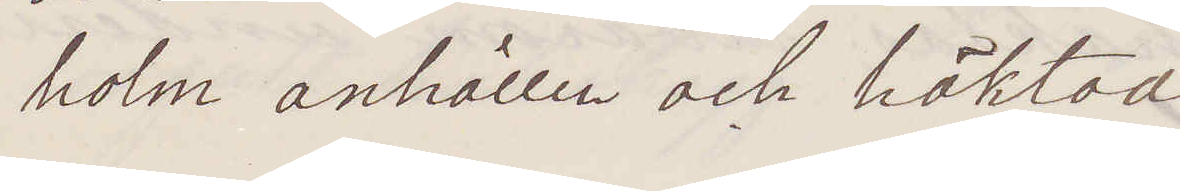holm anhållen och häktad.
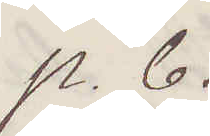p. b. 
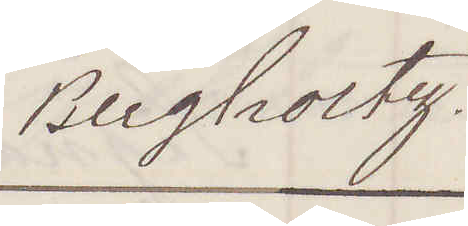Bergholtz.
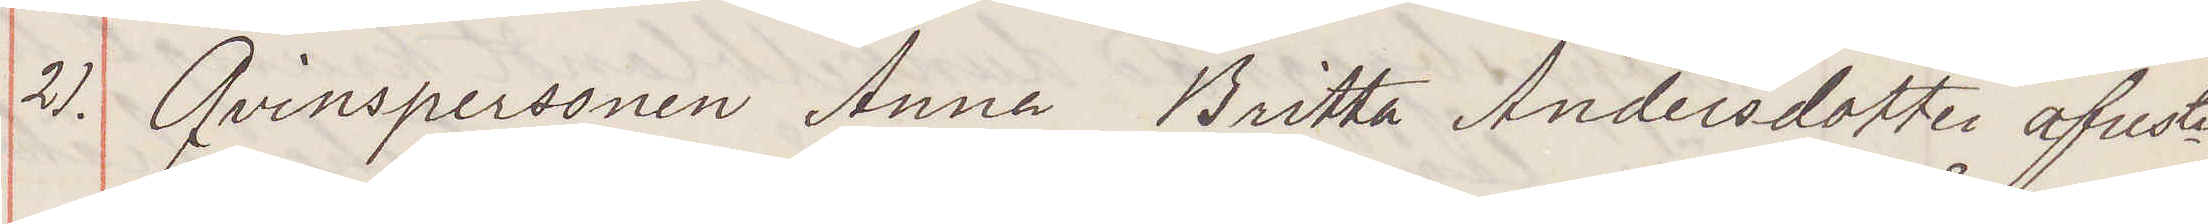21. Qvinspersonen Anna Britta Andersdotter afreste
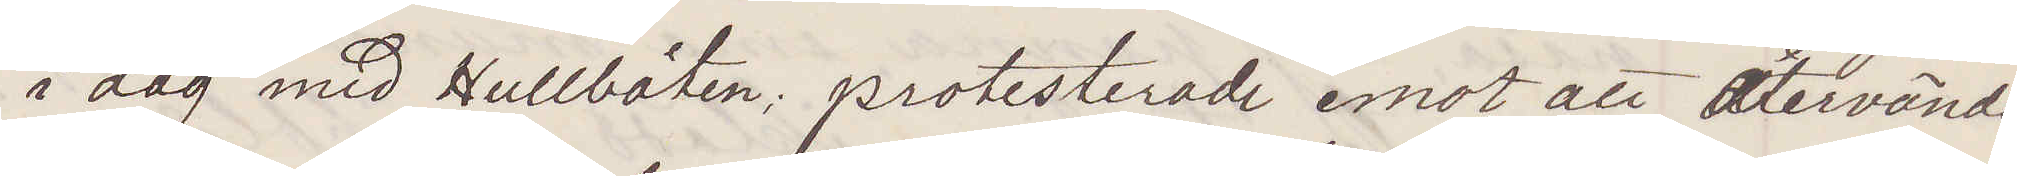i dag med Hullbåten protesterade emot att återvända
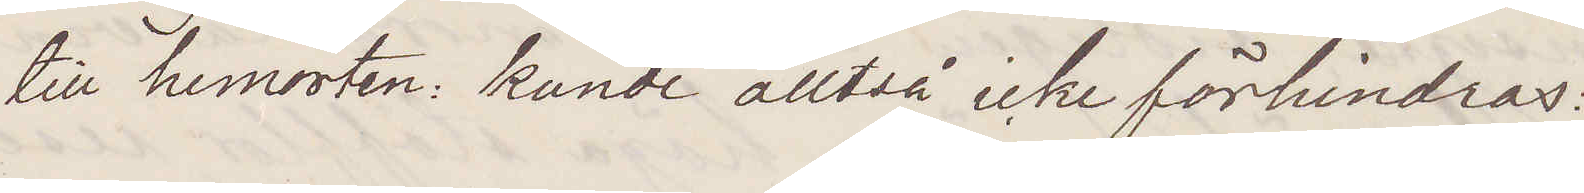till hemorten kunde alltså icke förhindras:
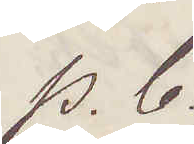p. b.
